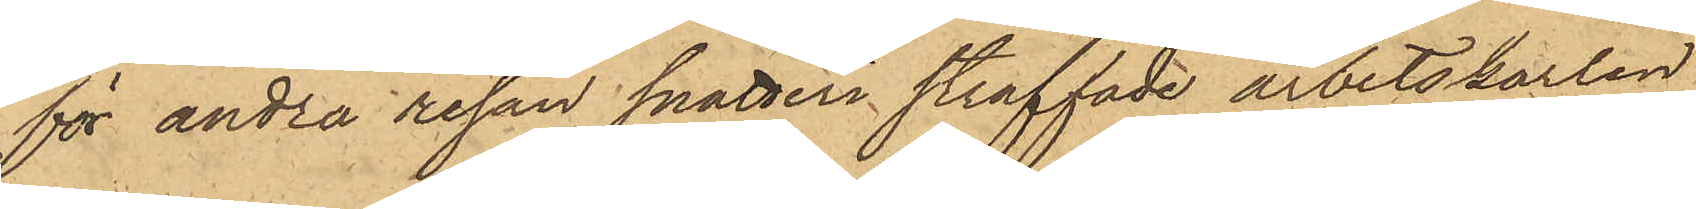för andra resan snatteri straffade arbetskarlen
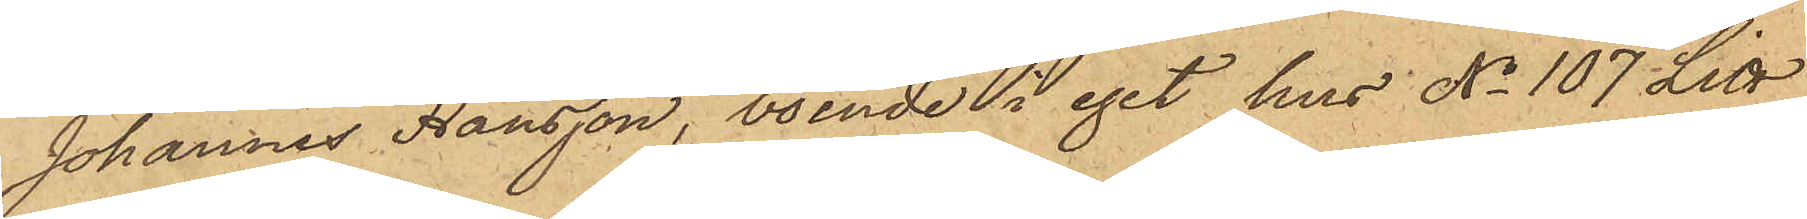Johannes Hansson, boende i eget hus No 107 Litt
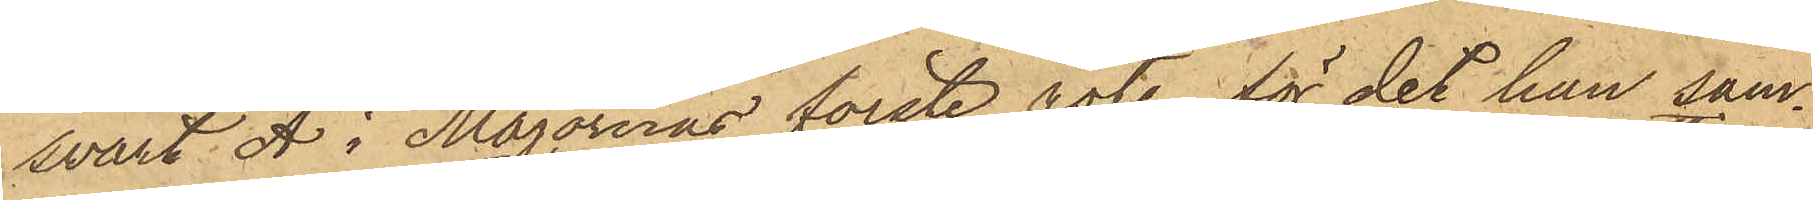svart A i Majornas förste rote, för det han sam¬
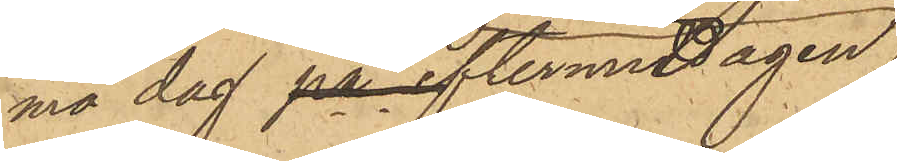ma dag på eftermiddagen
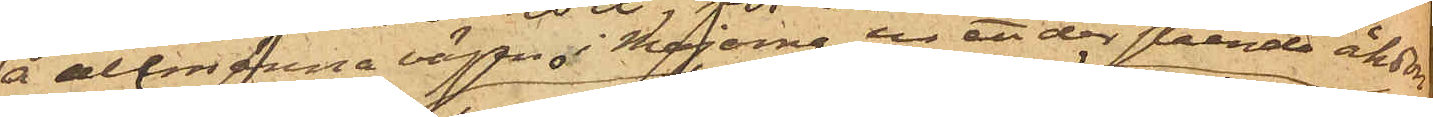å allmänna vägen i Majorna ur ett der stående åkdon
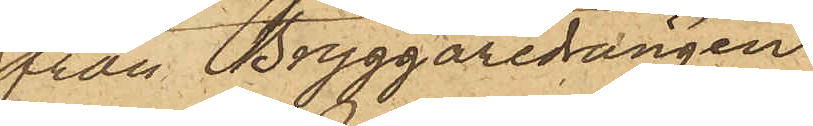från Bryggaredrängen
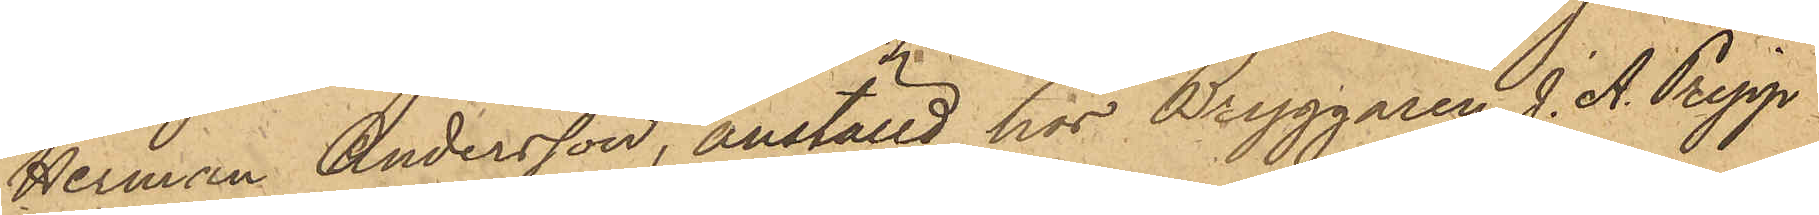Herman Andersson, anställd hos Bryggaren J. A. Pripp
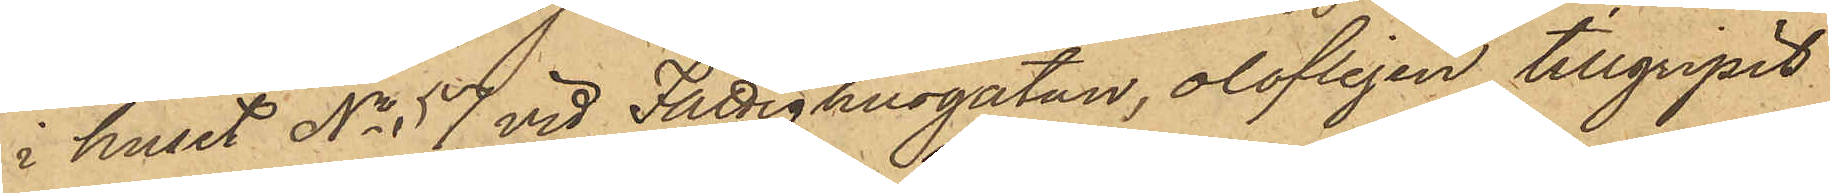i huset No 57 vid Fattighusgatan, olofligen tillgripit
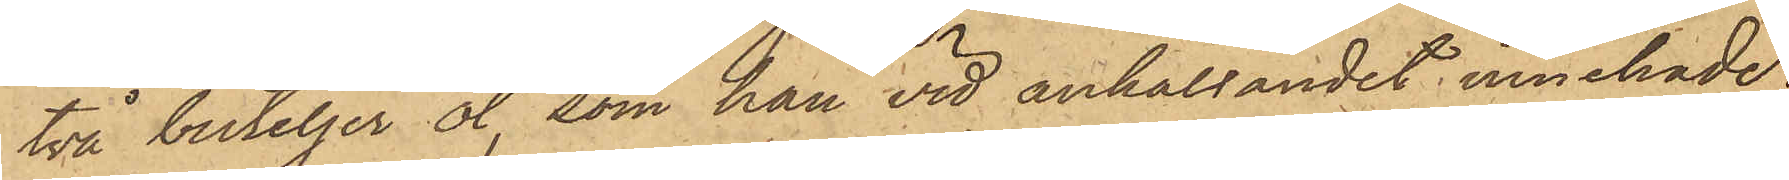två buteljer öl, som han vid anhållandet innehade;
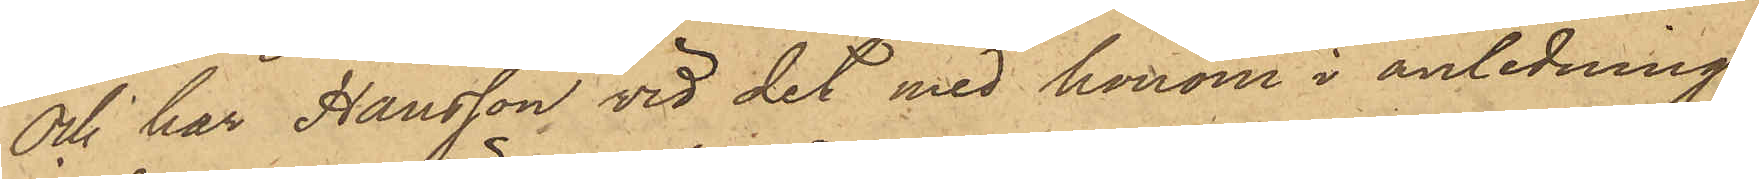och har Hansson vid det med honom i anledning
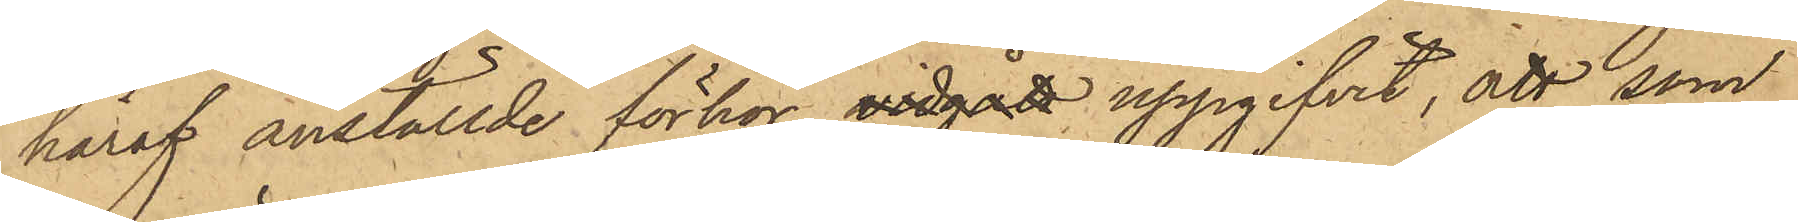häraf anställde förhör vidgått uppgifvit, att som
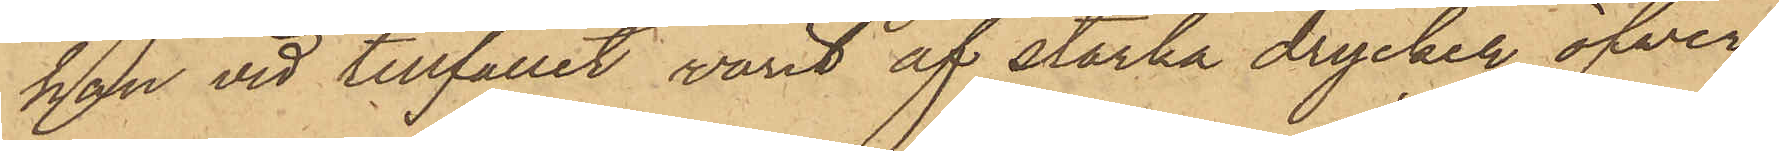han vid tillfället varit af starka drycker öfver¬
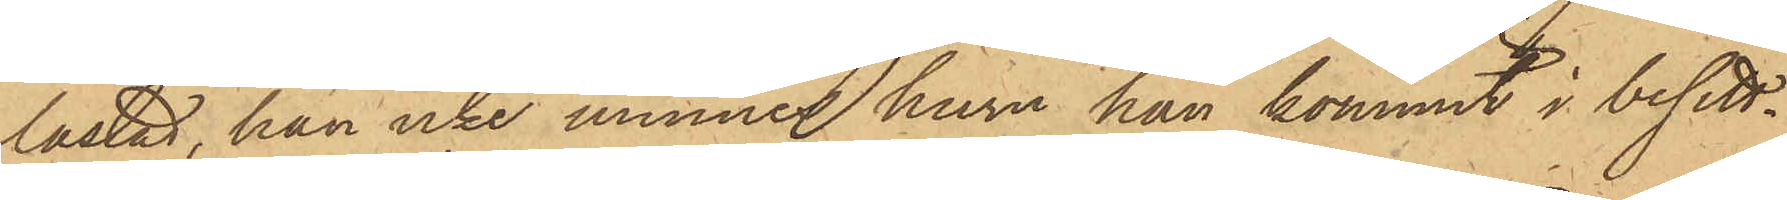lastad, han icke minnes huru han kommit i besitt¬
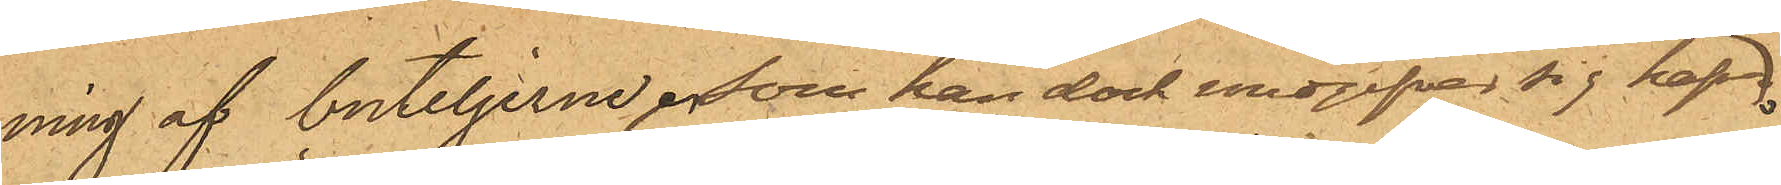ning af buteljerne som han dock uppgifver sig hafva
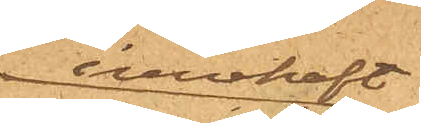innehaft.
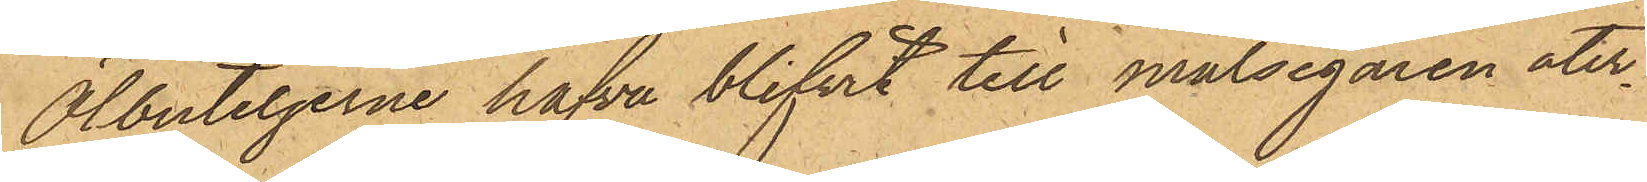Ölbuteljerne hafva blifvit till målsegaren åter¬
